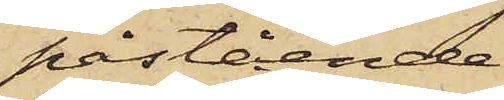påstående
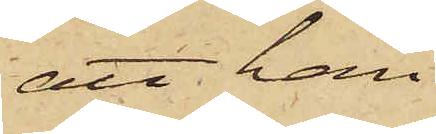att han
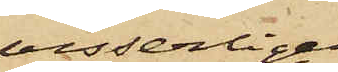visserligen
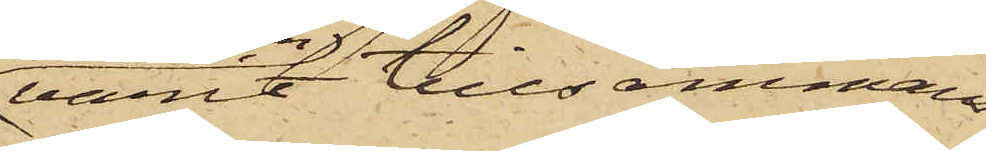varit tillsammans
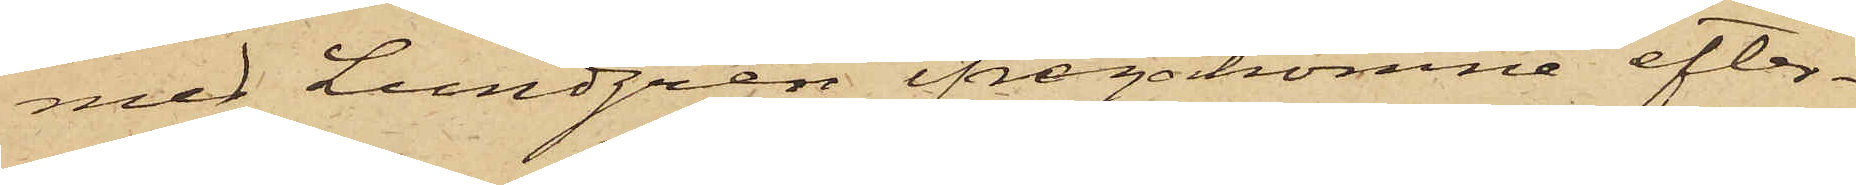med Lundgren ifrågakomne efter
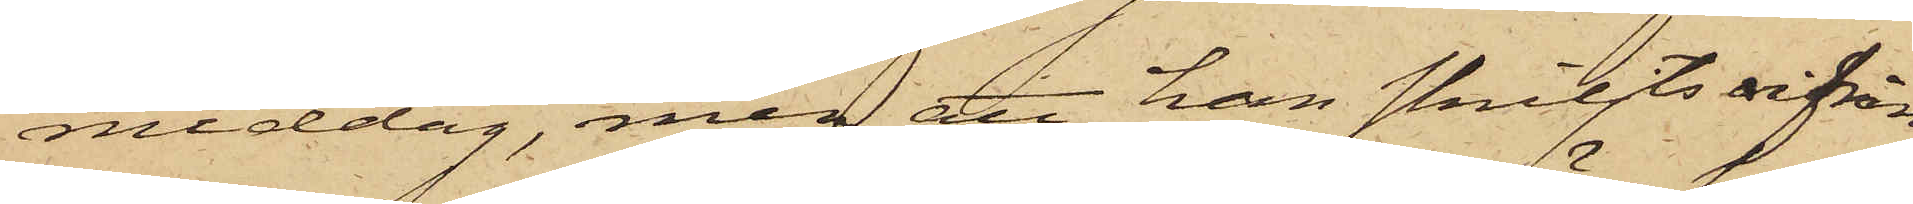middag, men att han skiljts vifrån¬
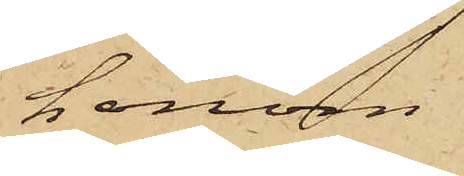honom
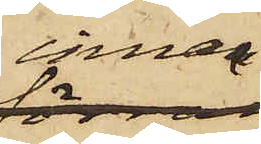innan
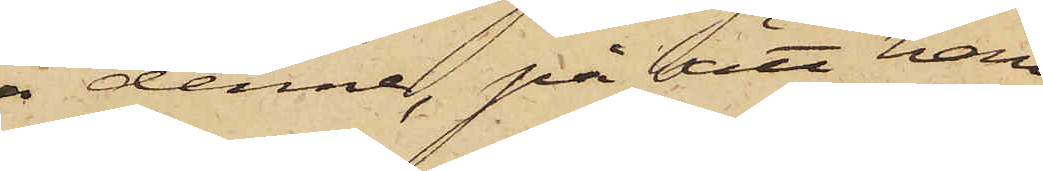denne, på sätt han
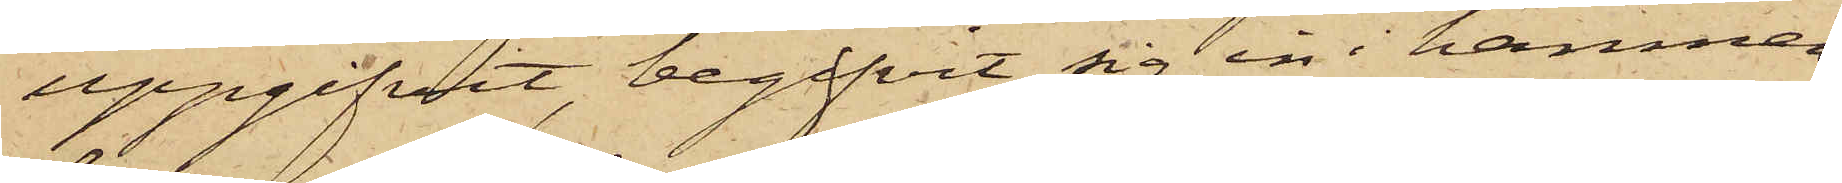uppgifvit, begifvit sig in i hamnen,
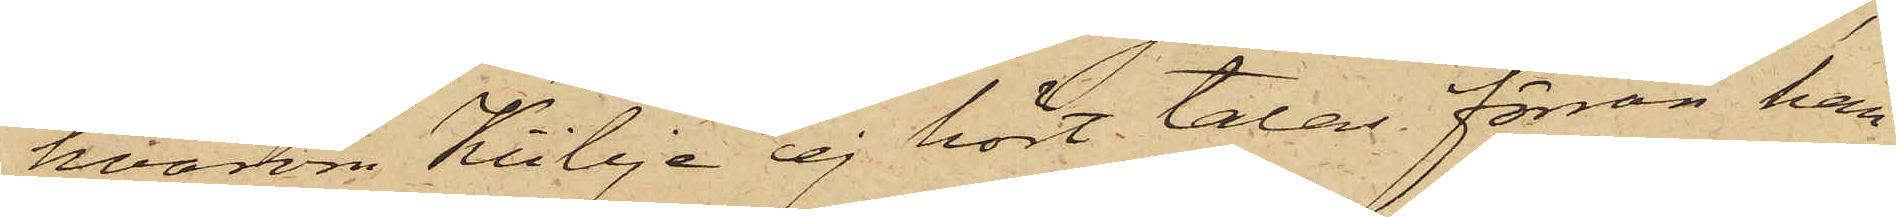hvarom Kübje ej hört talas förrän han
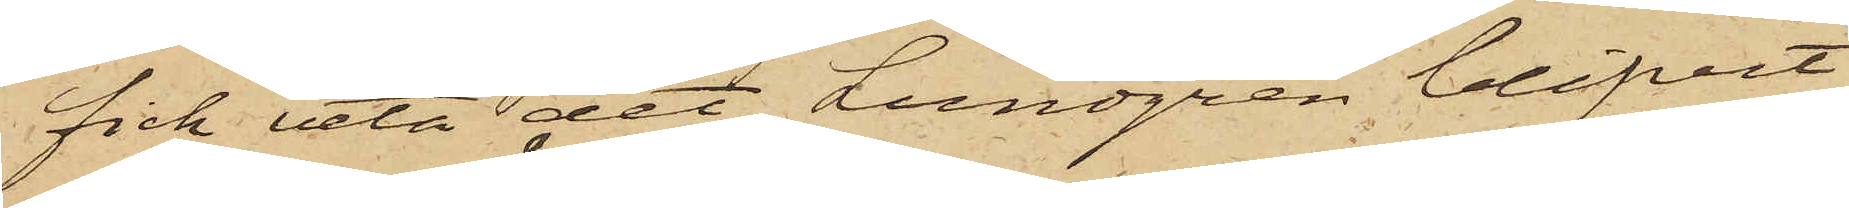fick veta det Lundgren blifvit
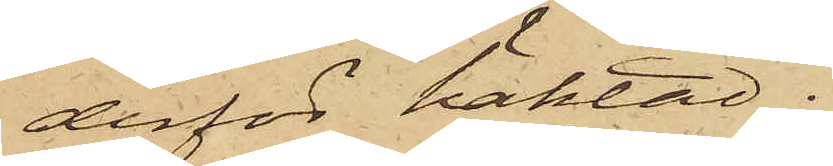derför häktad.
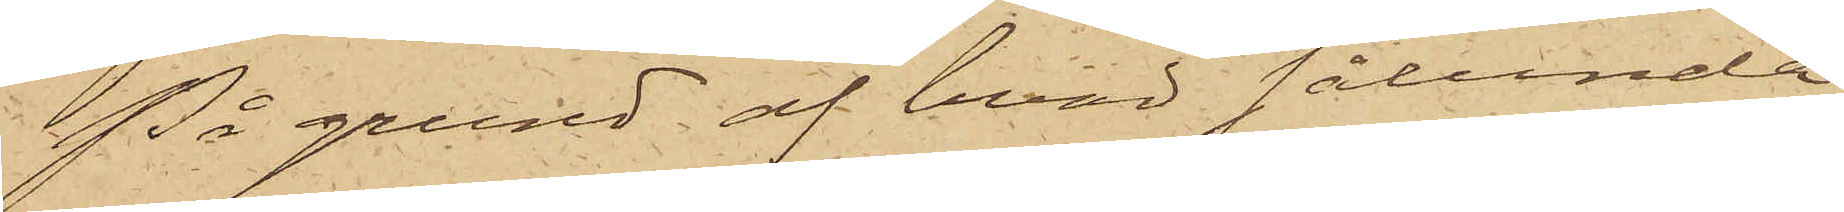På grund af hvad sålunda
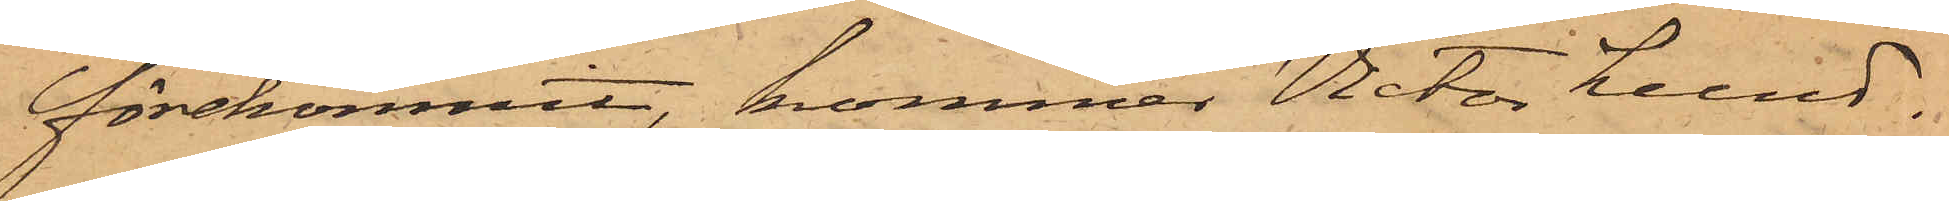förekommit, kommer Victor Lund¬
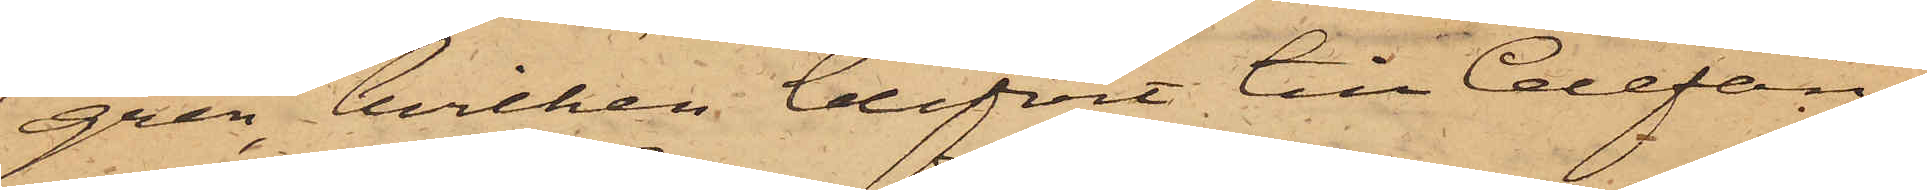gren, hvilken blifvit till Cellfän¬
